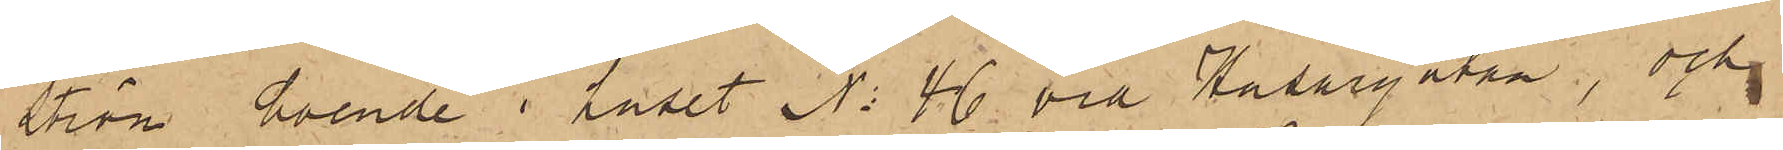ström, boende i huset No 46 vid Husargatan, och
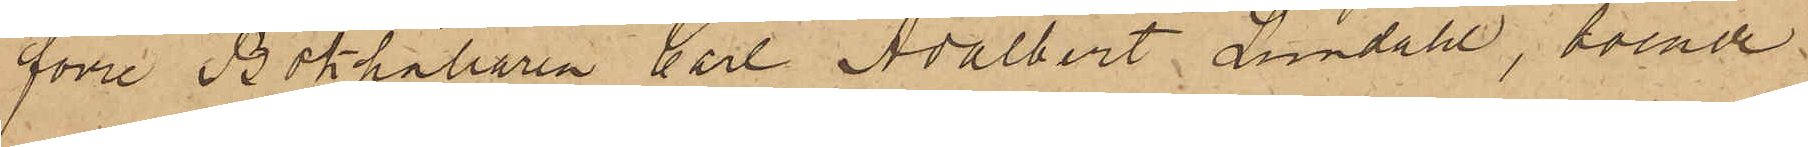förre Bokhållaren Carl Adalbert Lundahl, boende
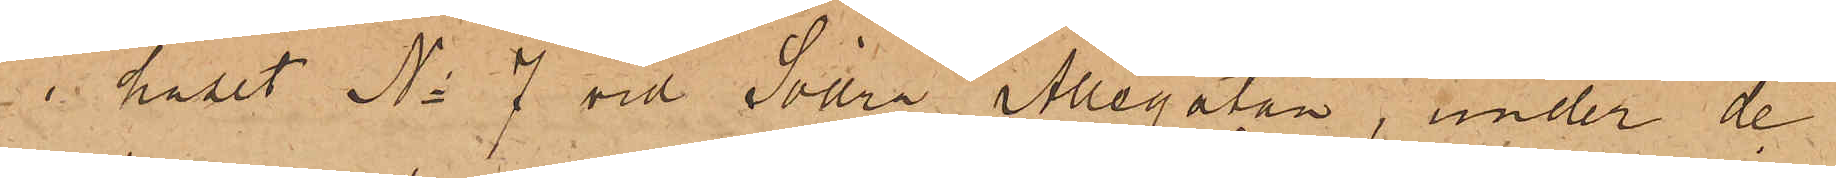i huset No 7 vid Södra Allégatan, under de
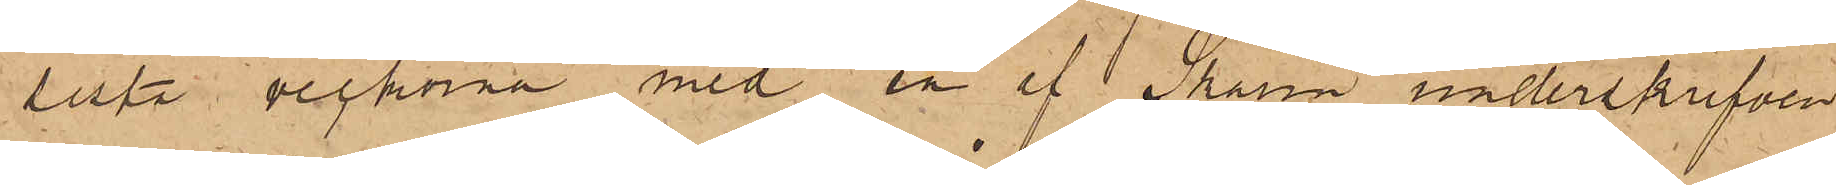sista veckorna med en af Skarin underskrifven
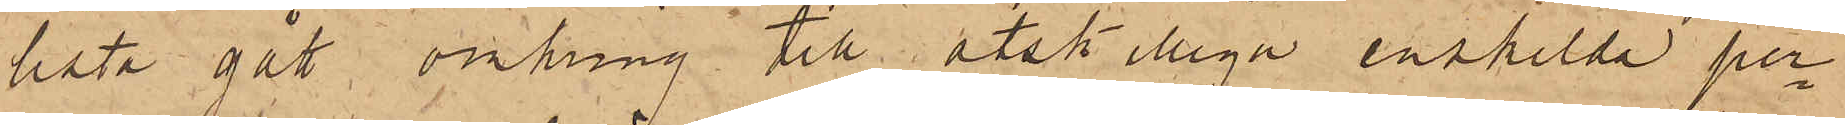lista gått omkring till åtskilliga enskilda per¬
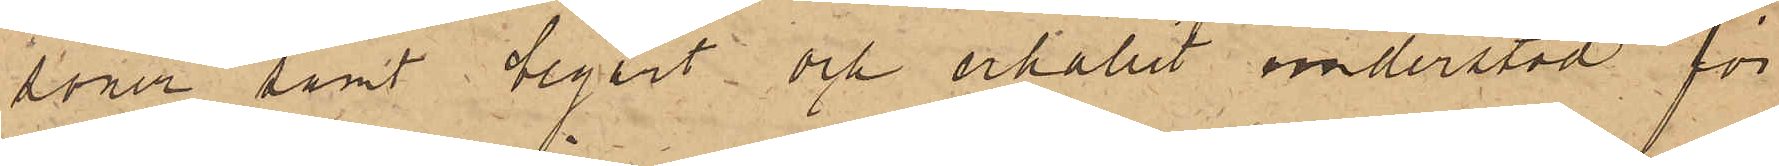soner samt begärt och erhållit understöd för
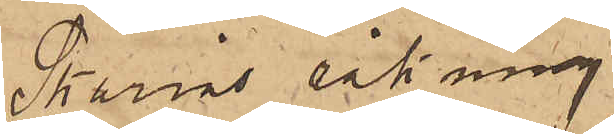Skarins räkning.
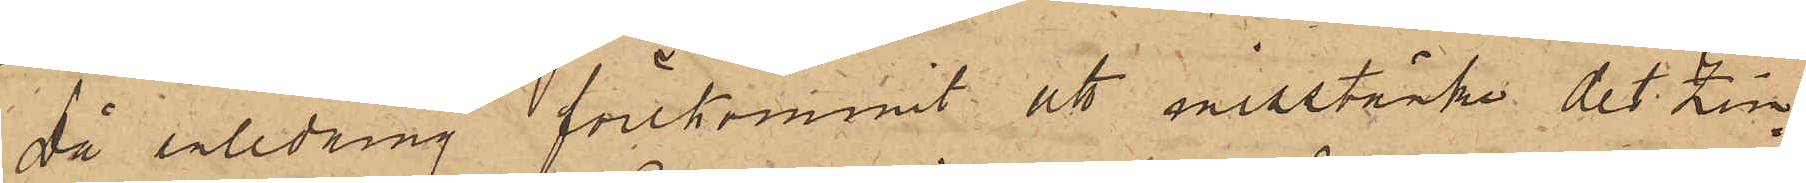Då anledning förekommit att misstänka det Zim¬
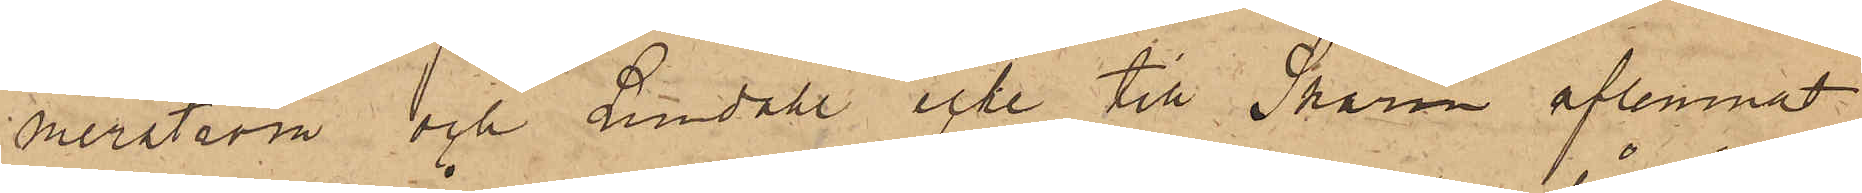merström och Lundahl icke till Skarin aflemnat
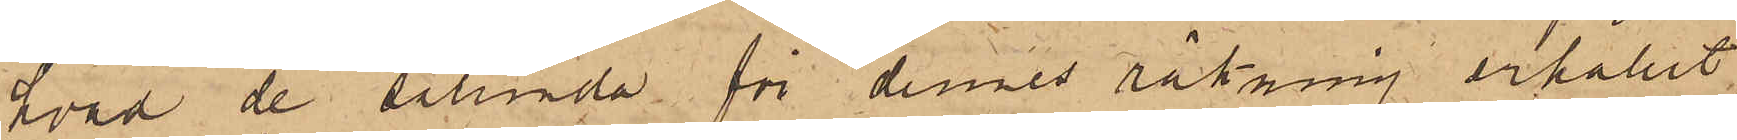hvad de sålunda för dennes räkning erhållit,
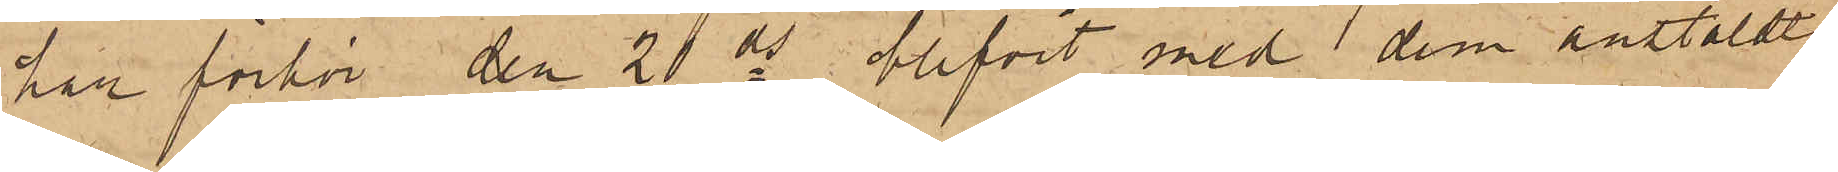har förhör den 20 ds blifvit med dem anstäldt
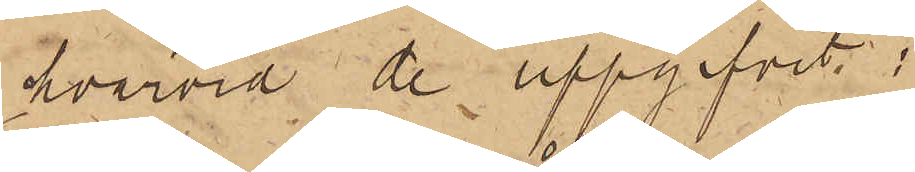hvarvid de uppgifvit.;
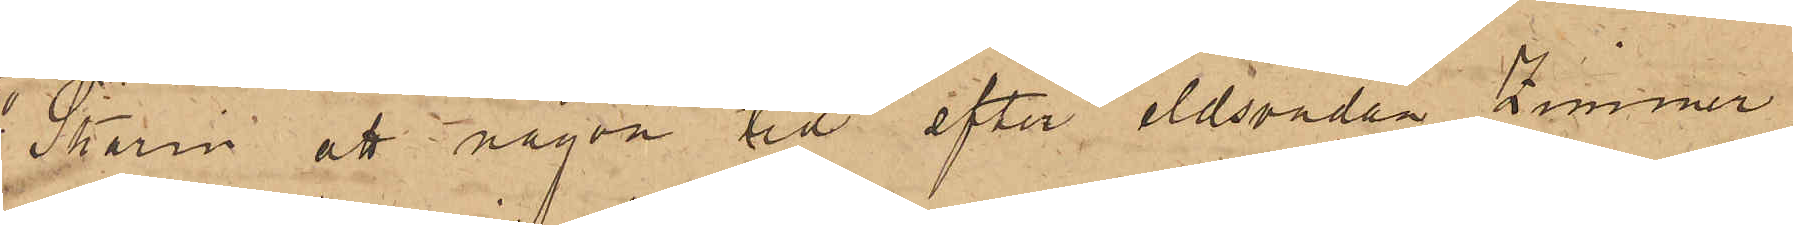1o Skarin att någon tid efter eldsvådan Zimmer¬
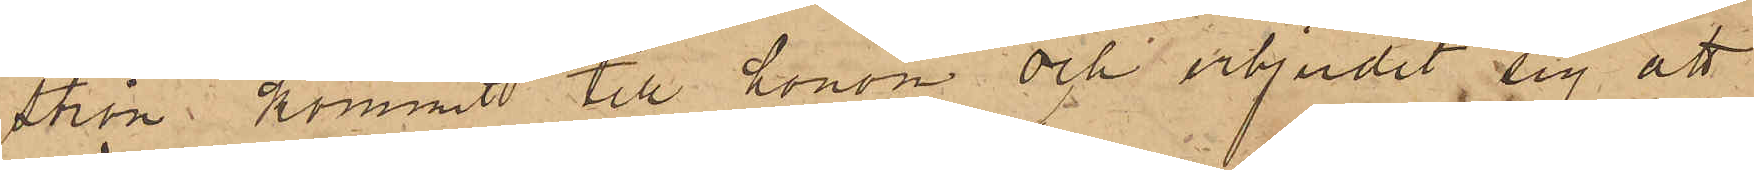ström kommit till honom och erbjudit sig att
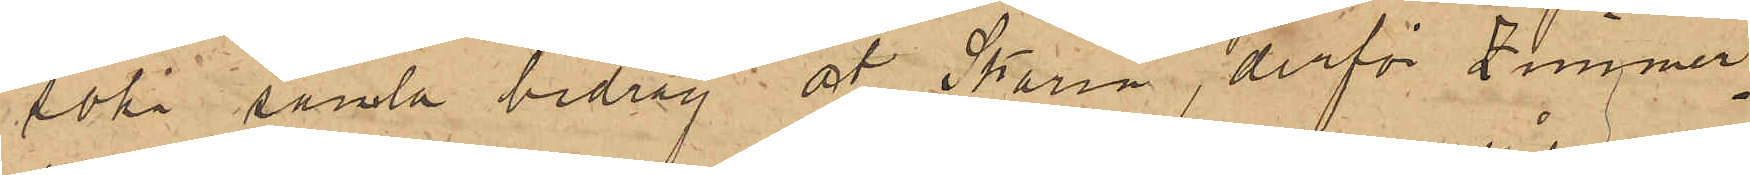söka samla bidrag åt Skarin, derför Zimmer¬
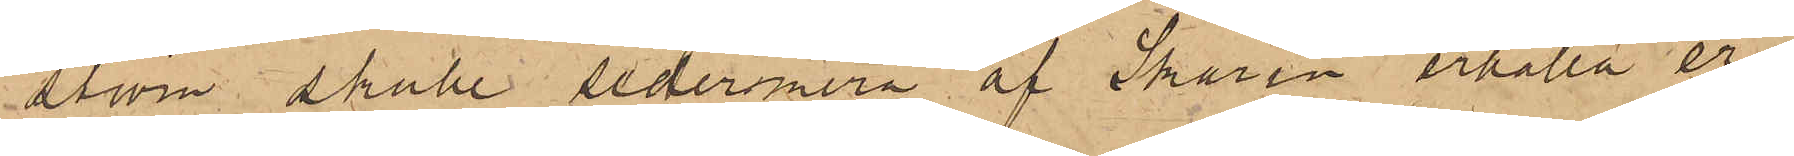ström skulle sedermera af Skarin erhålla er¬
